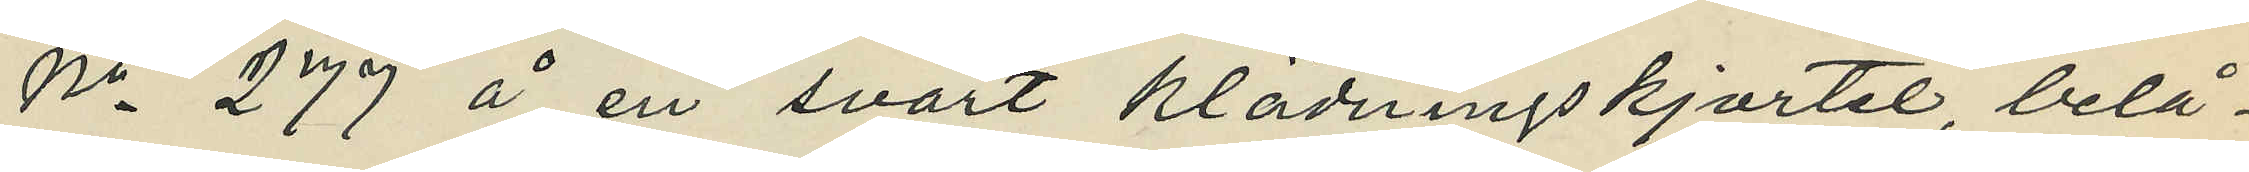No 279 å en svart klädningskjortel, belå¬
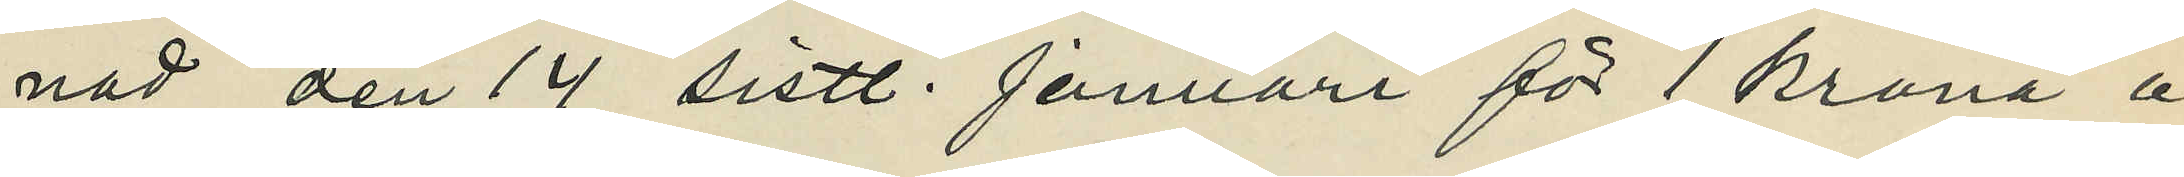nad den 14 sistl. Januari för 1 krona å
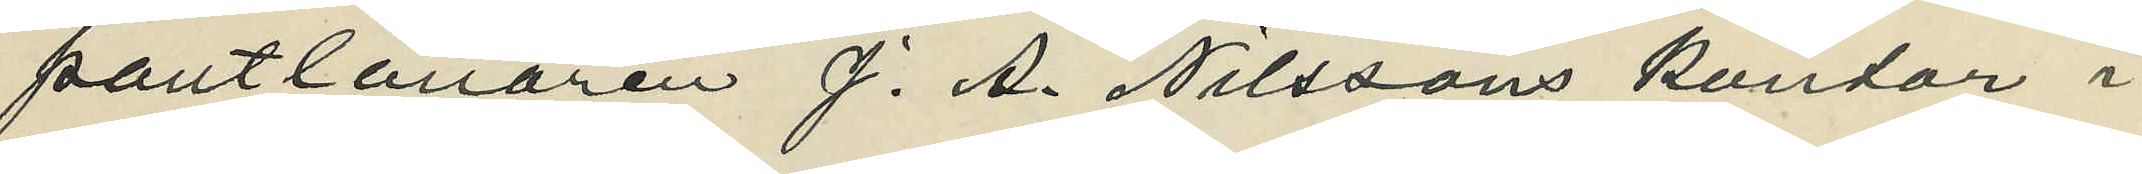pantlånaren J. A. Nilssons kontor i
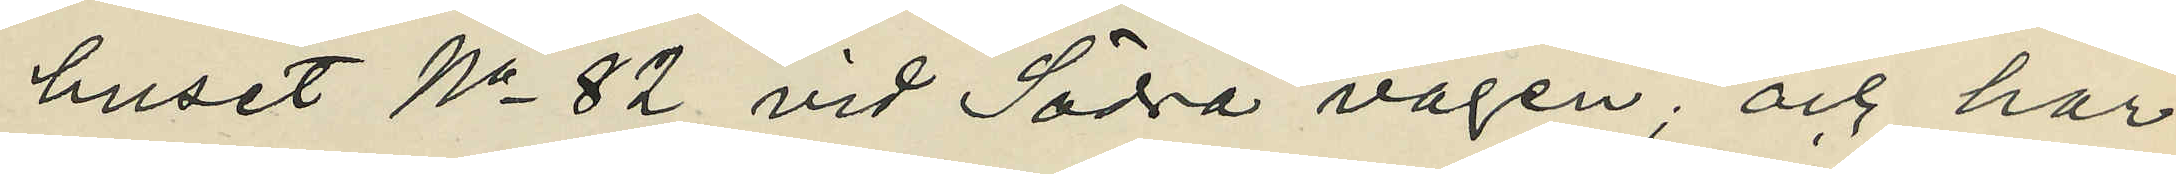huset No 82 vid Södra vägen; och har
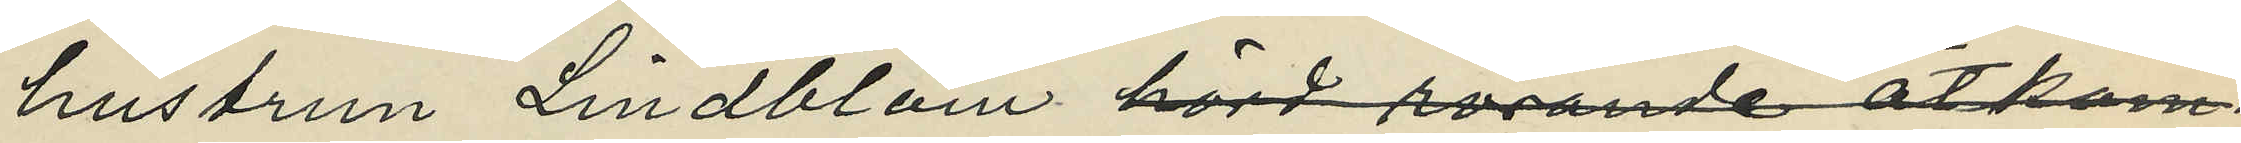hustrun Lindblom hörd rörande åtkom¬
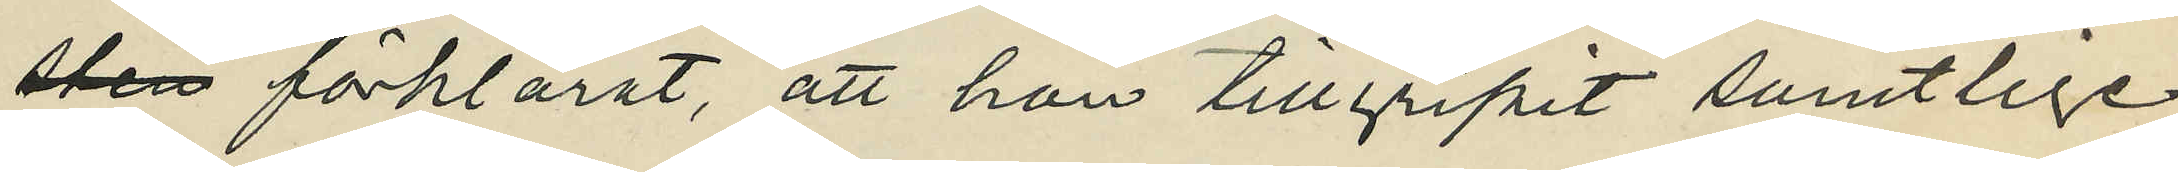sten förklarat, att han tillgripit samtlige
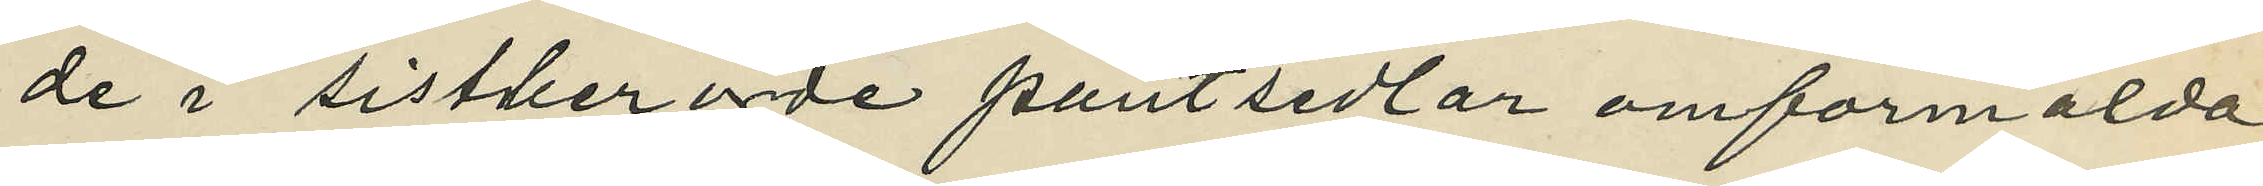de i sistberörde pantsedlar omförmälda
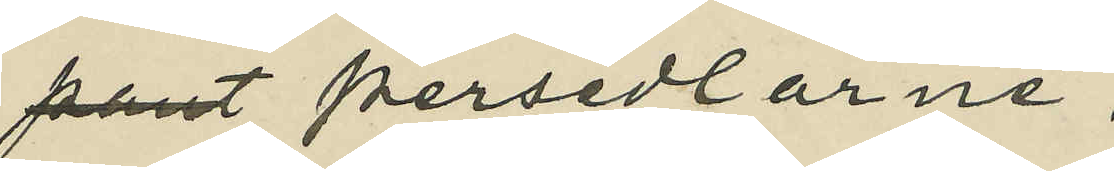pant persedlarne;
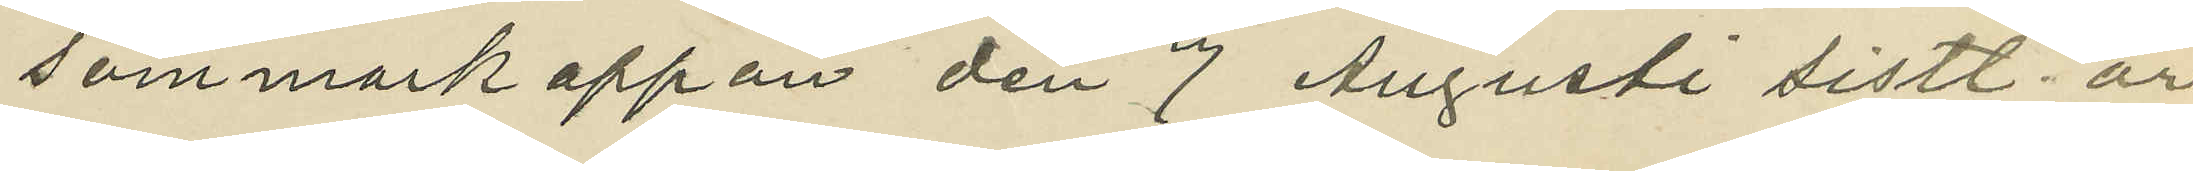sommarkappan den 7 Augusti sistl. år
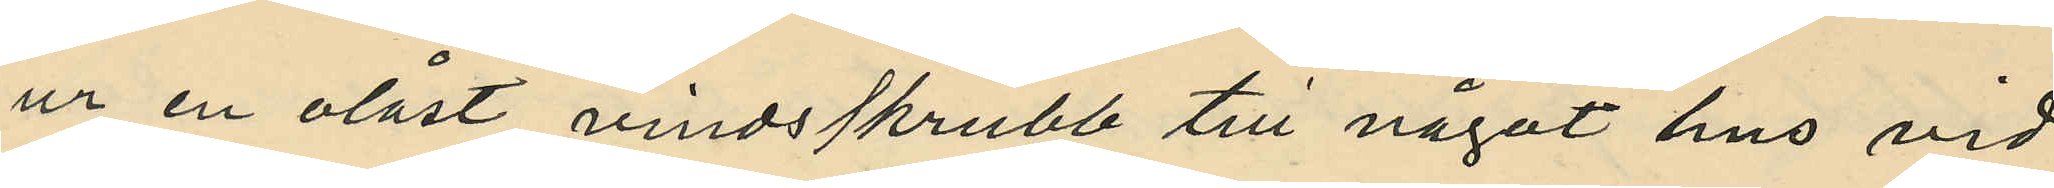ur en olåst vindsskrubb till något hus vid
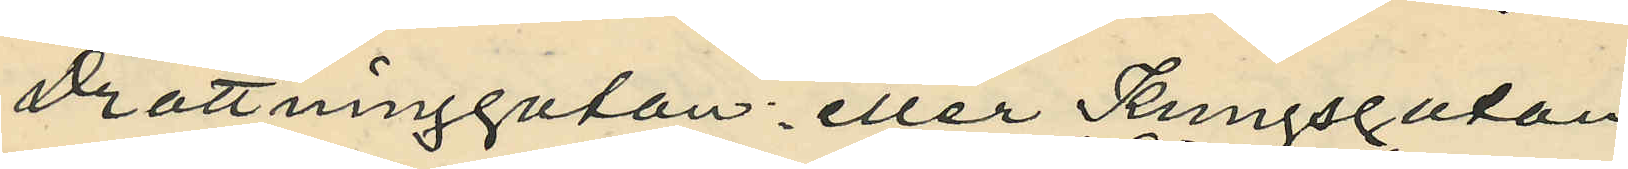Drottninggatan eller Kungsgatan,
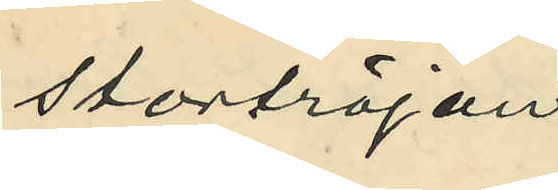stortröjan
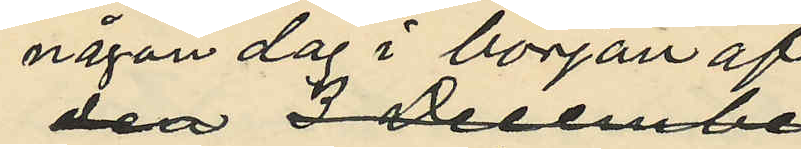någon dag i början af
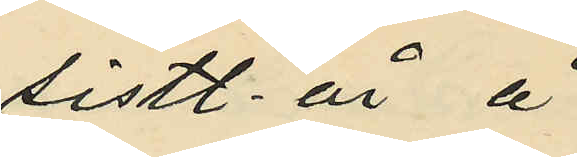sistl. år å
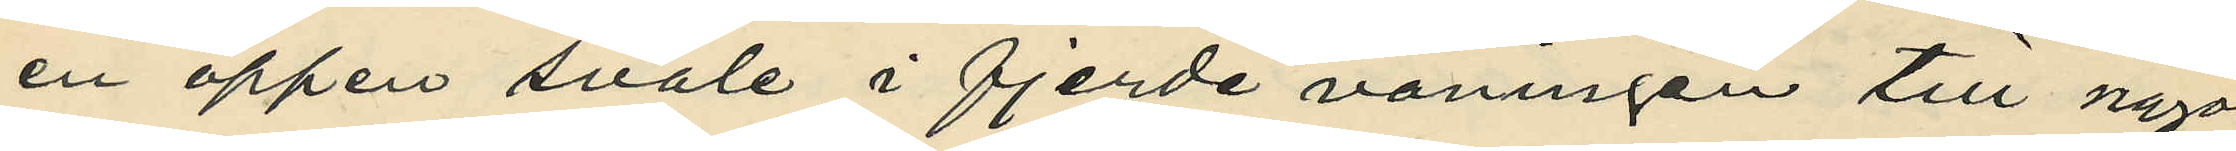en öppen svale i fjerde våningen till något
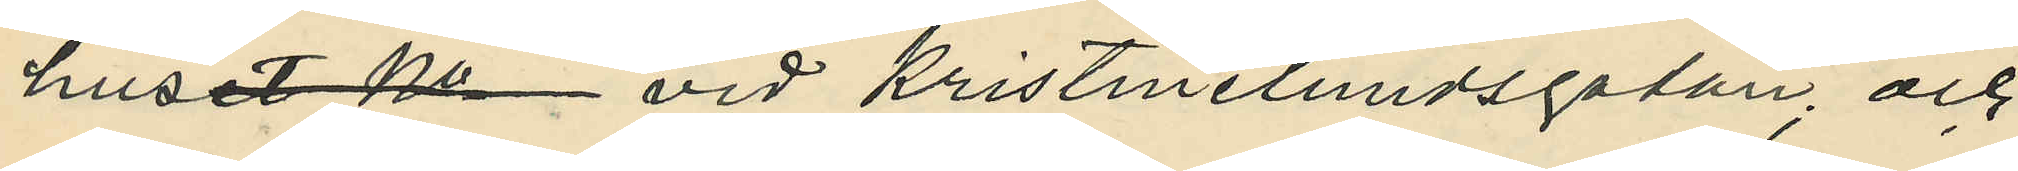huset No vid Kristinelundsgatan; och
